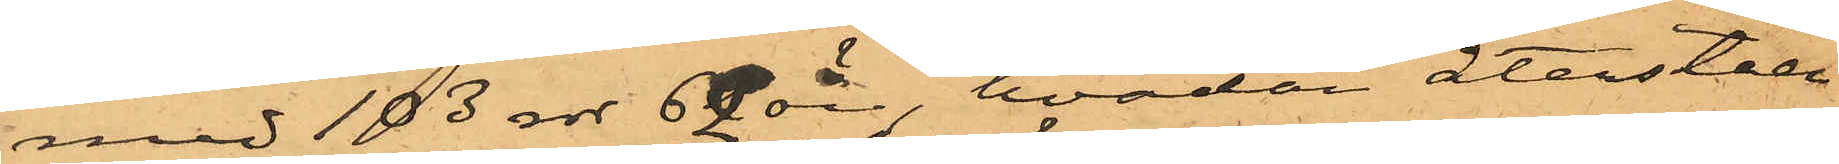med 103 rdr 62 öre, hvadan återståen¬
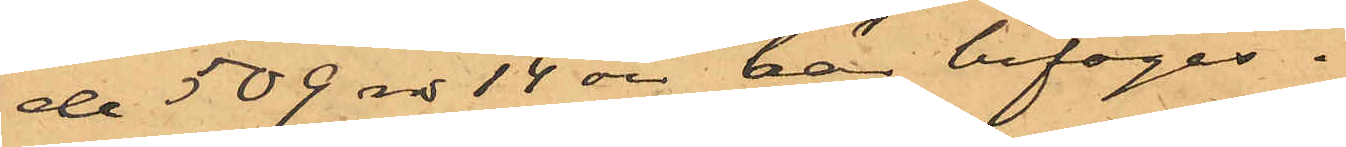de 509 rdr 14 öre, här bifogas.
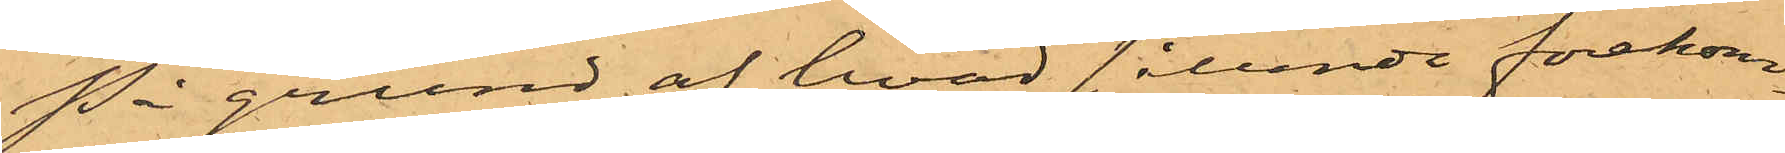På grund af hvad sålunda förekom¬
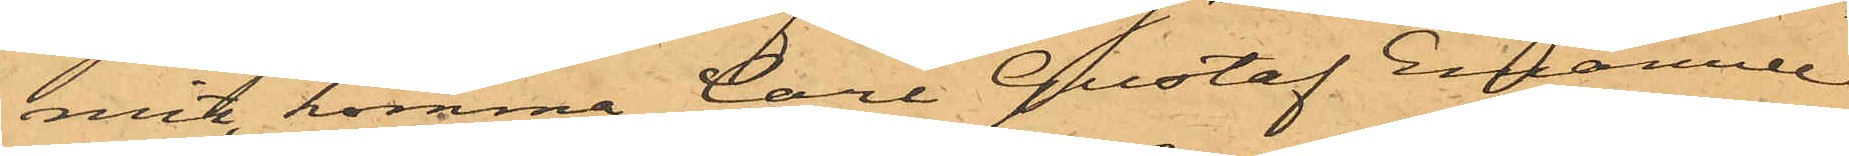mit, komma Carl Gustaf Emanuel
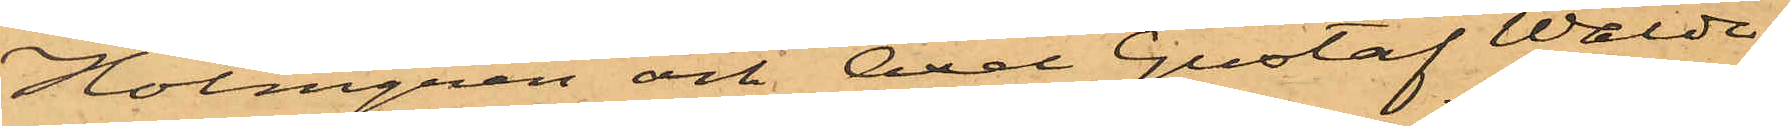Holmgren och Axel Gustaf Walde¬
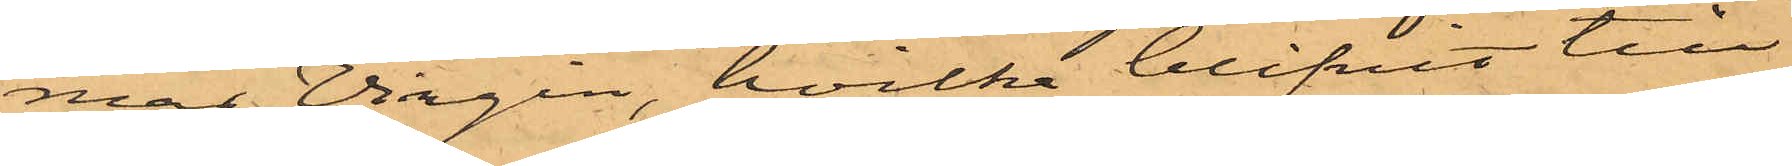mar Virgin, hvilka blifvit till
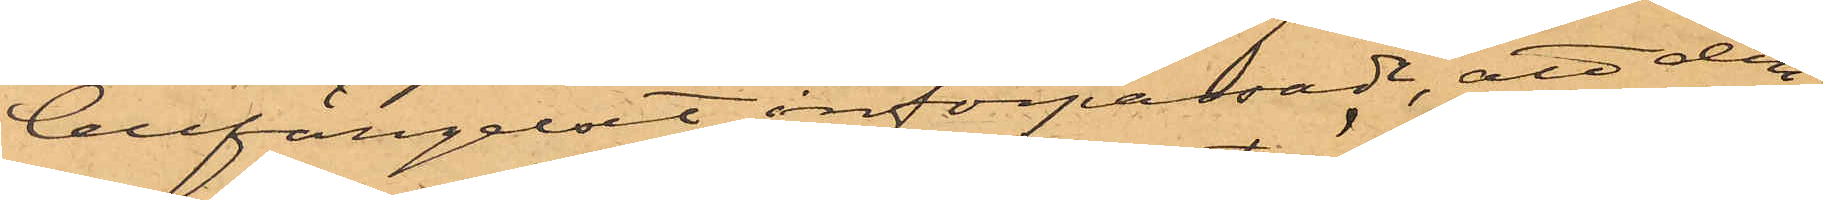Cellfängelset införpassade, att den
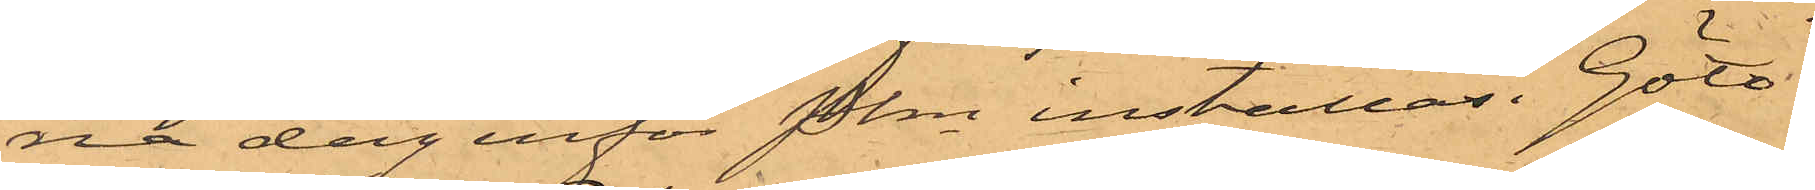na dag inför Pkn inställas. Göte¬
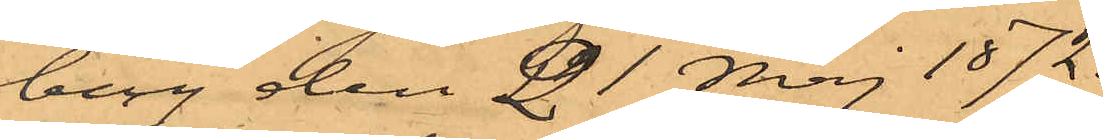borg den 21 Maj 1872.
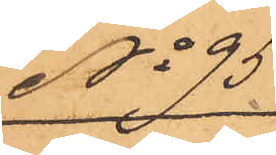No 95
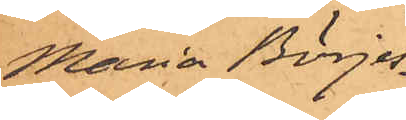Maria Börjes¬
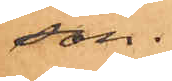son.
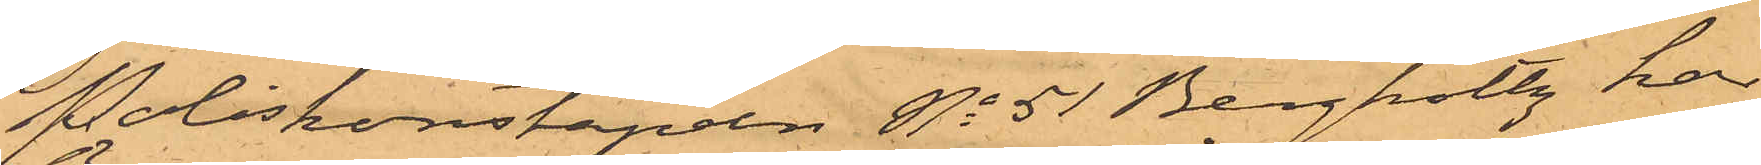Poliskonstapeln No 51 Bergholtz, har
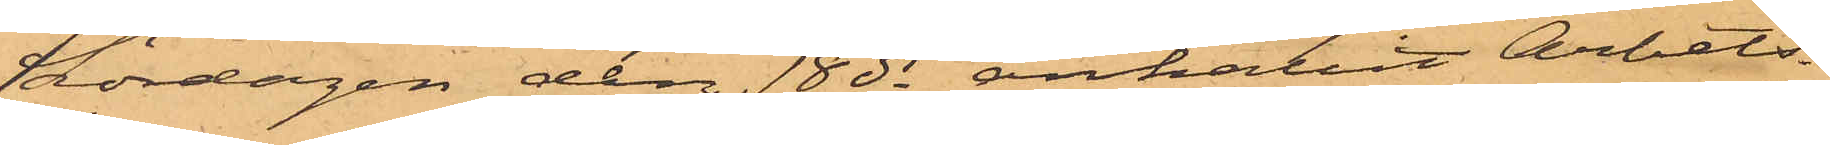Lördagen den 18 ds anhållit Arbets¬
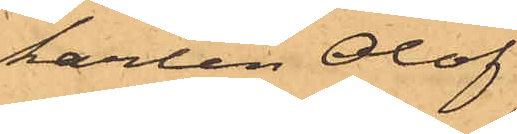karlen Olof
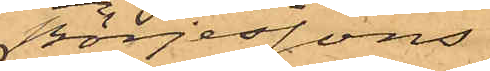Börjessons
